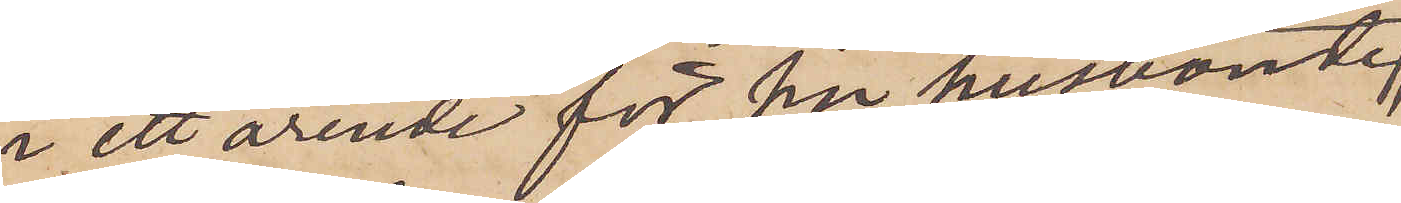i ett ärende för sin husbonde,
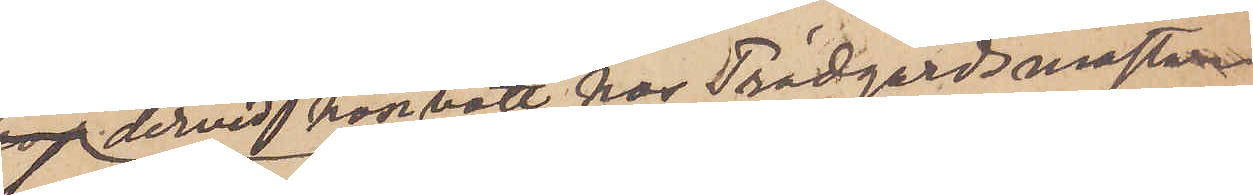dervid hon bott hos Trädgårdsmästaren
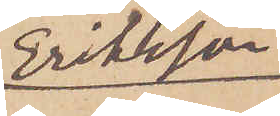Eriksson,
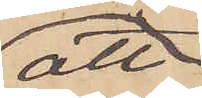att
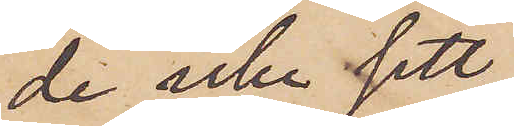de icke sett
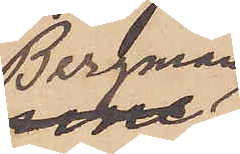Bergman
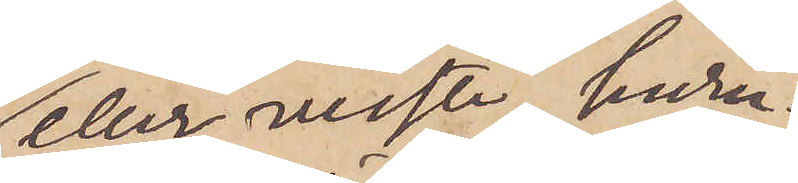eller visste huru¬
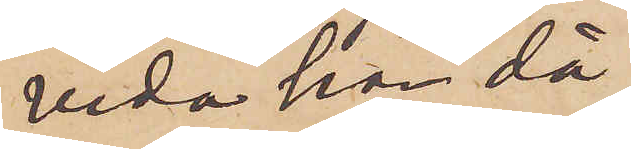vida han då
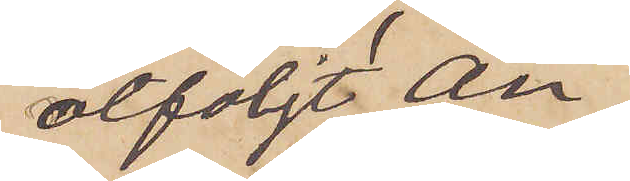åtföljt An¬
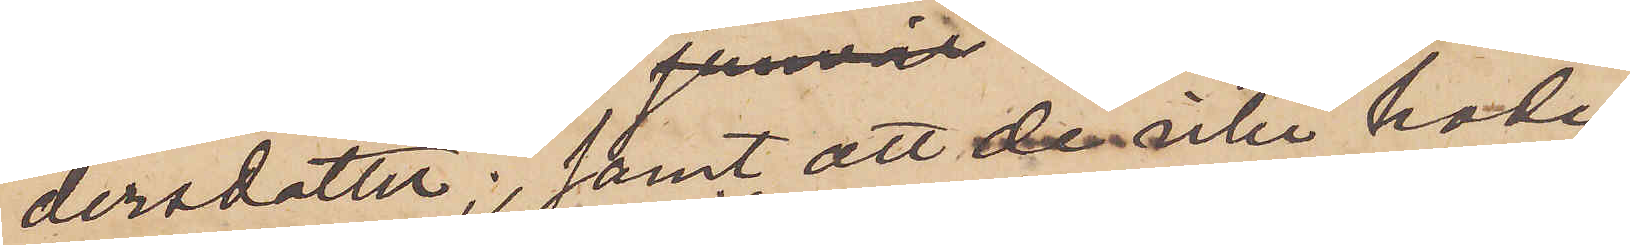dersdotter; samt att de icke hade
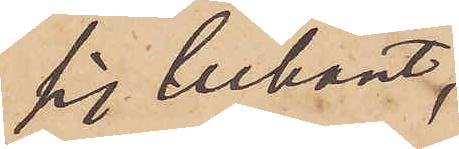sig bekant,
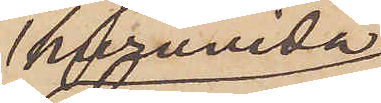huruvida
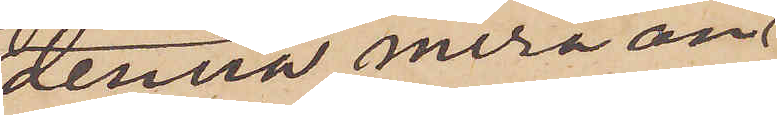denna mera än
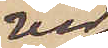vid
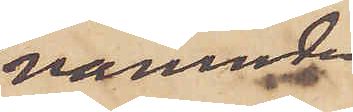nämnde
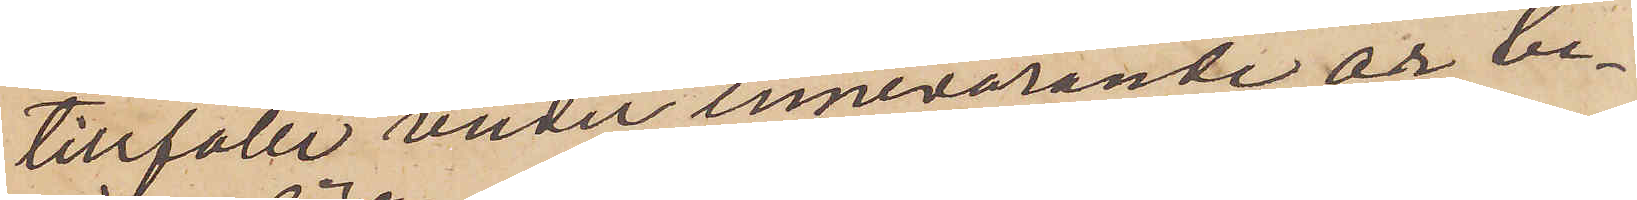tillfälle under innevarande år be¬
